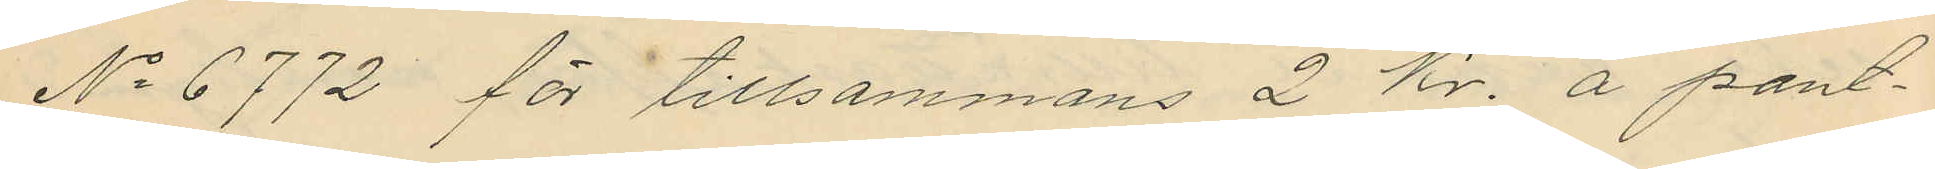No 6772 för tillsammans 2 Kr. å pant¬
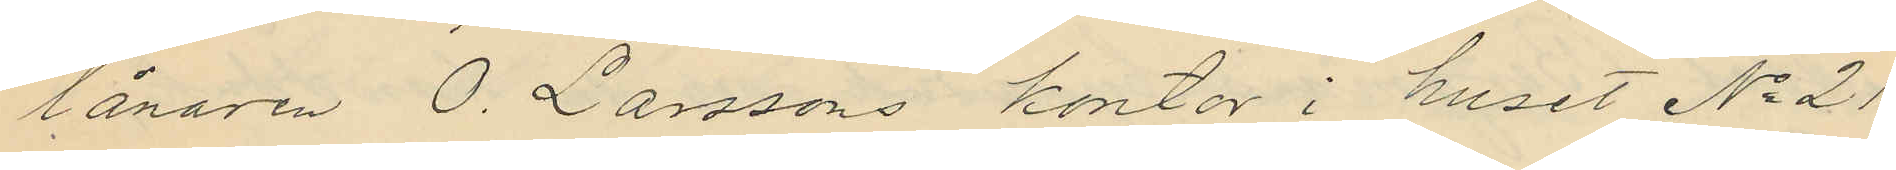lånaren O. Larssons kontor i huset No 21
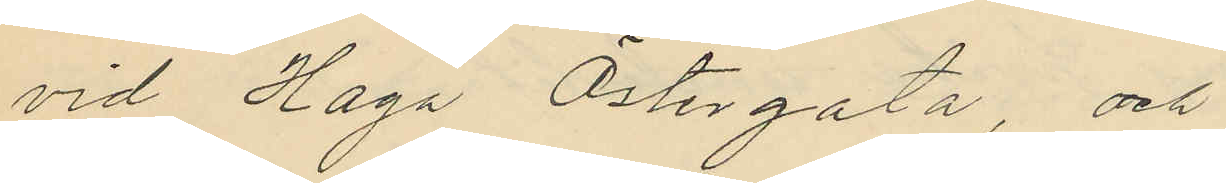vid Haga Östergata, och
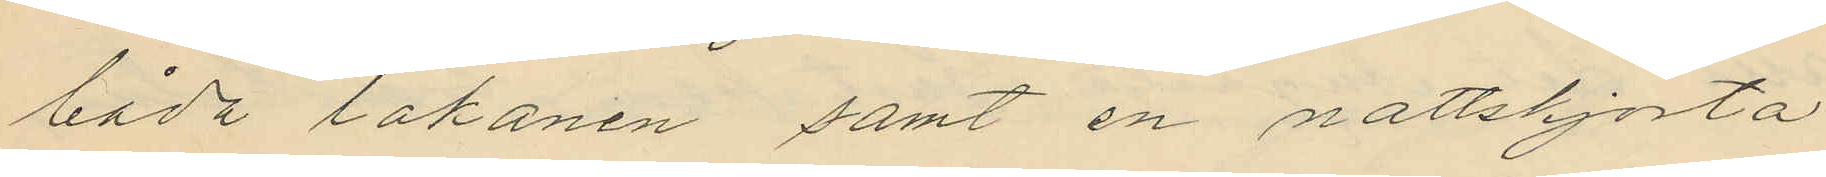båda lakanen samt en nattskjorta
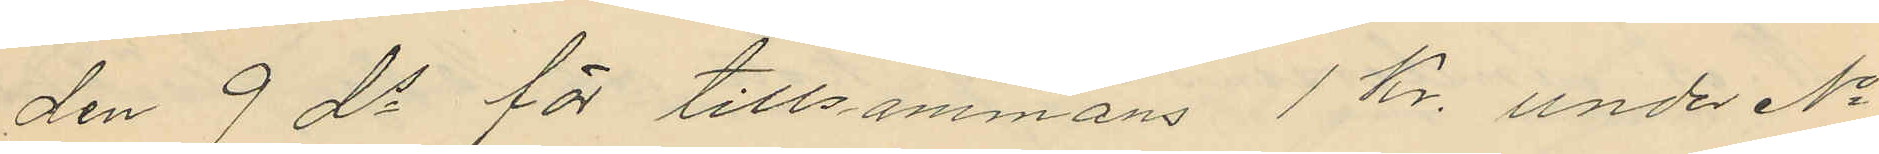den 9 ds för tillsammans 1 Kr. under No
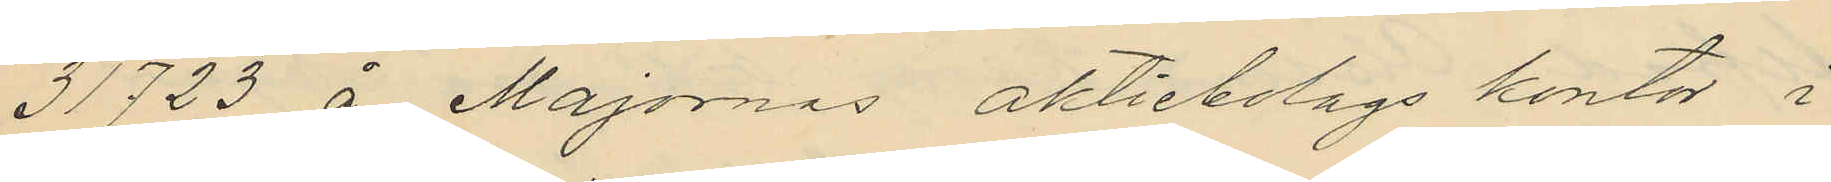31723 å Majornas aktiebolags kontor i
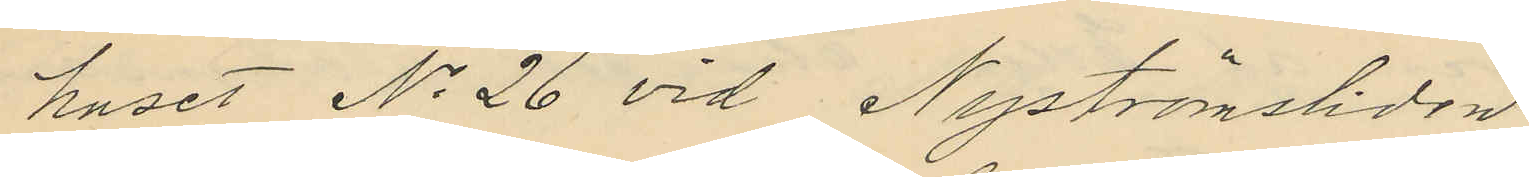huset No 26 vid Nyströmsliden
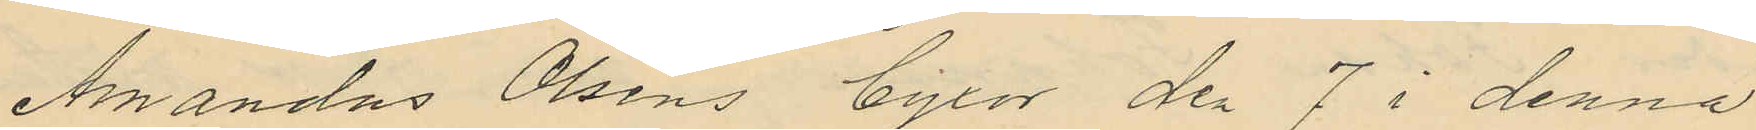Amandus Olséns byxor den 7 i denna
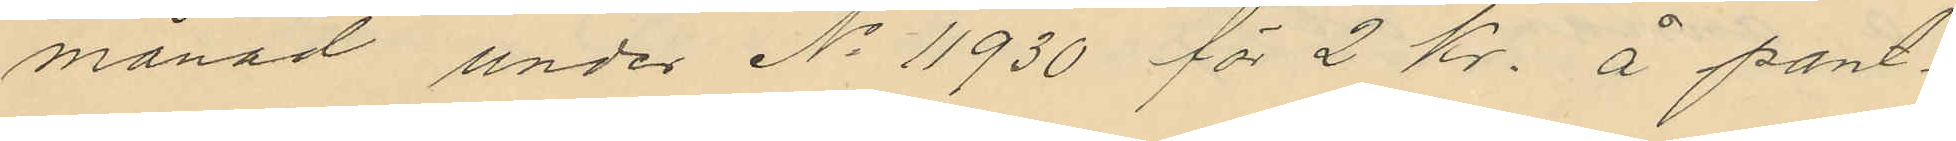månad under No 11930 för 2 Kr. å pant¬
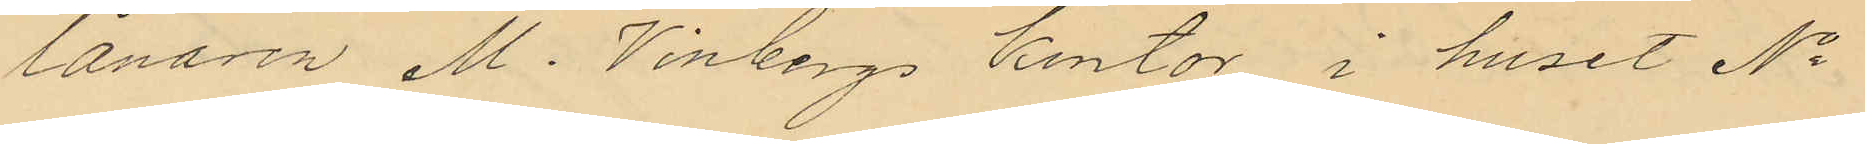lånaren M. Vinbergs kontor i huset No
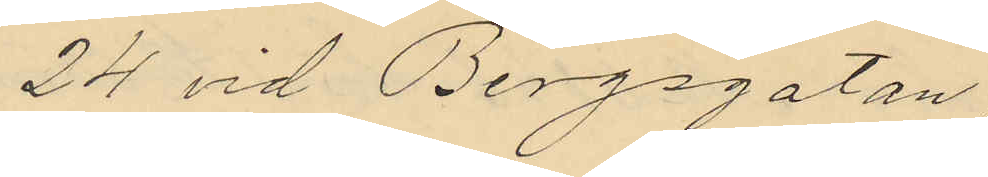24 vid Bergsgatan
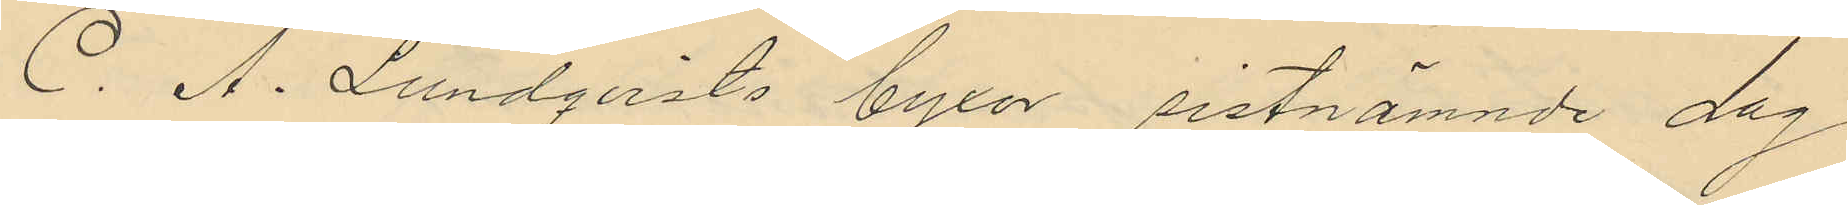C. A. Lundqvists byxor sistnämnde dag
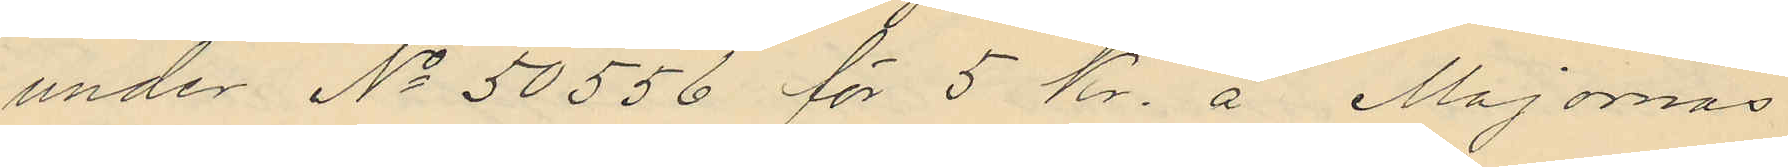under No 50556 för 5 kr. å Majornas
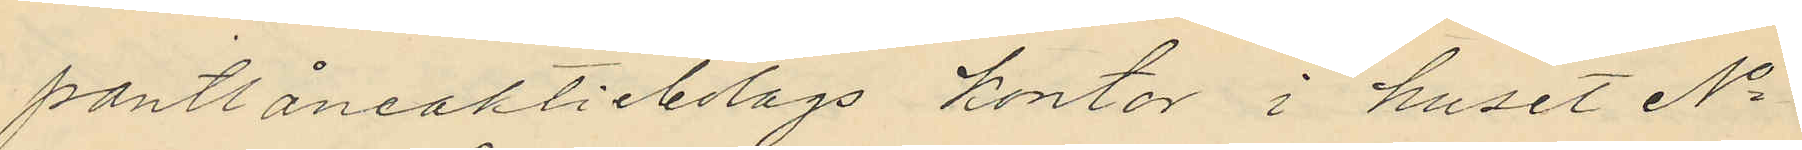pantlåneaktiebolags kontor i huset No
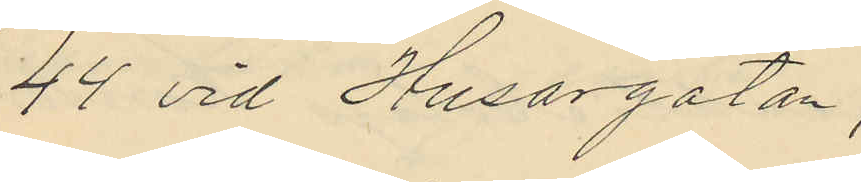44 vid Husargatan,
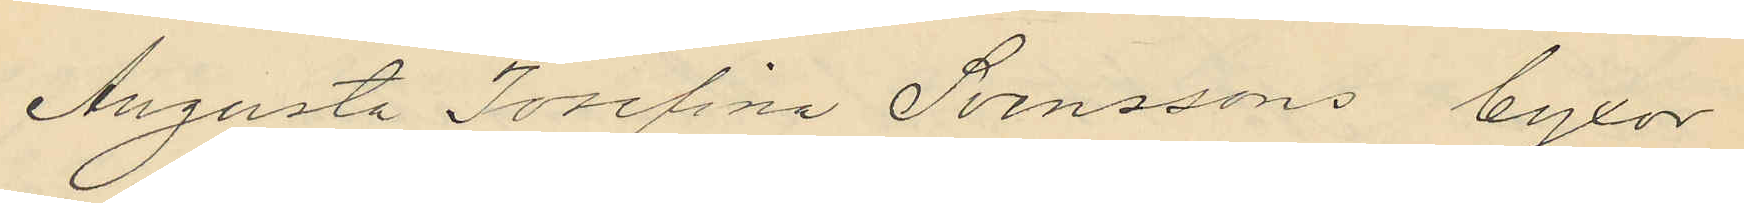Augusta Josefina Svenssons byxor
